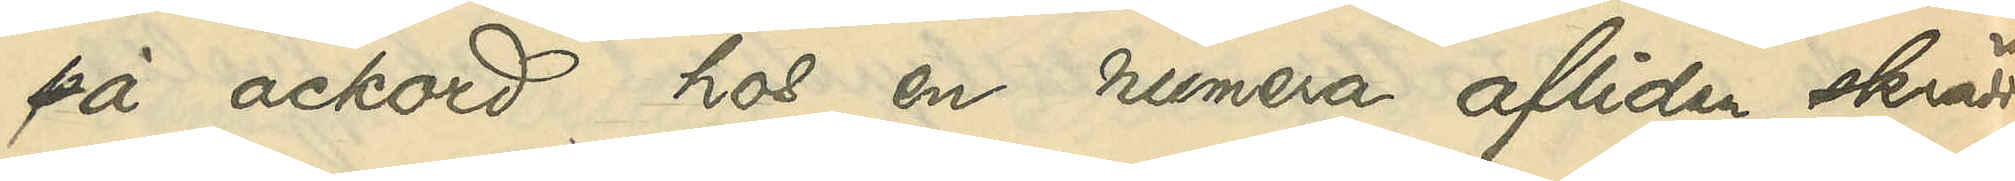på ackord hos en numera afliden skrädda¬
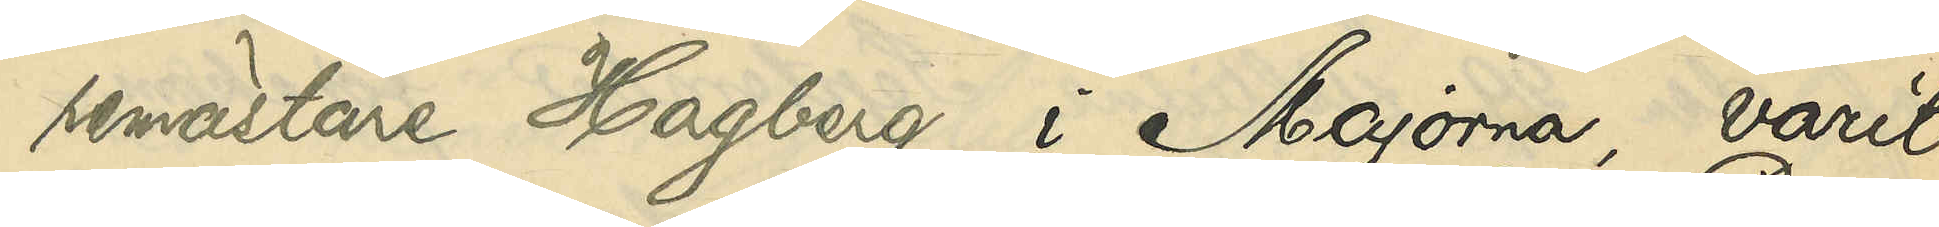remästare Hagberg i Majorna, varit
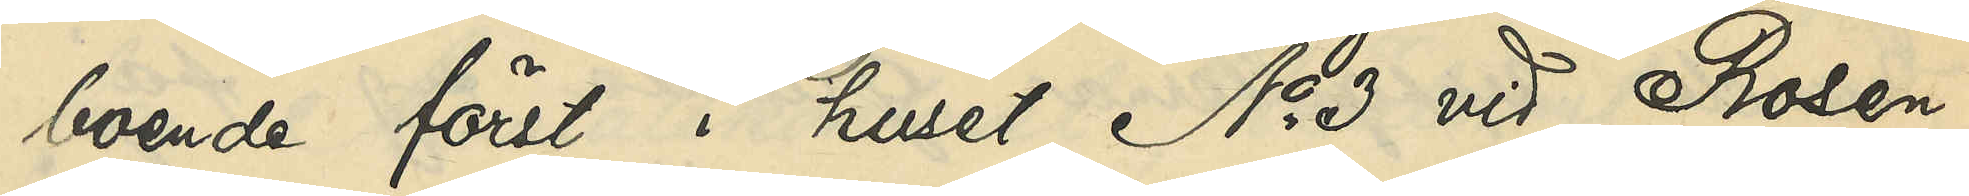boende först i huset No 3 vid Rosen¬
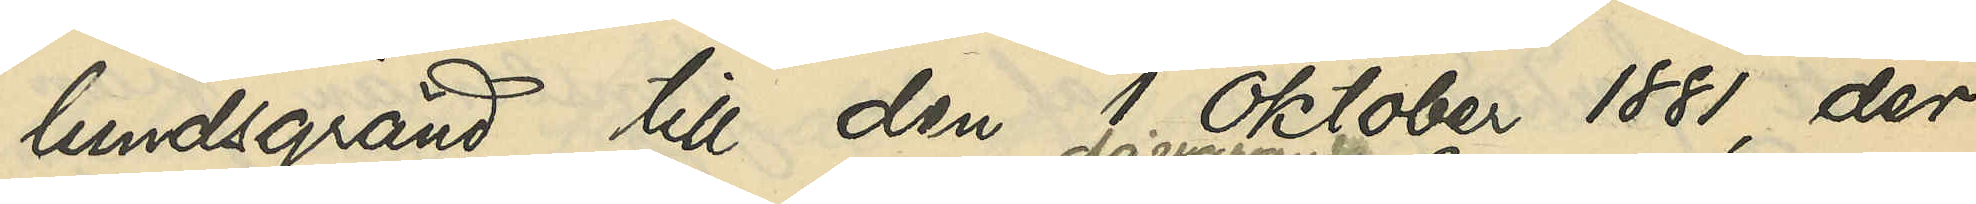lundsgränd till den 1 Oktober 1881, der¬
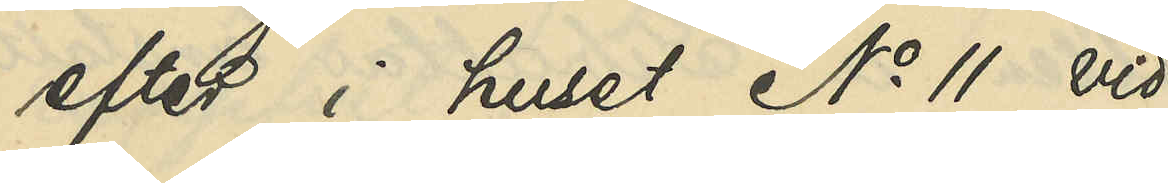efter i huset No 11 vid
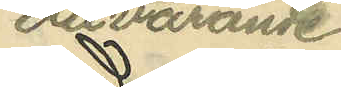dåvarande
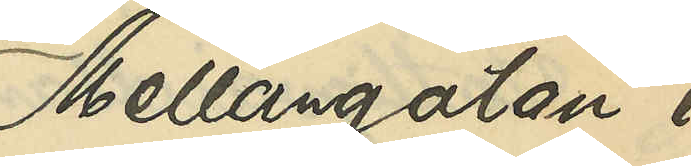Mellangatan i
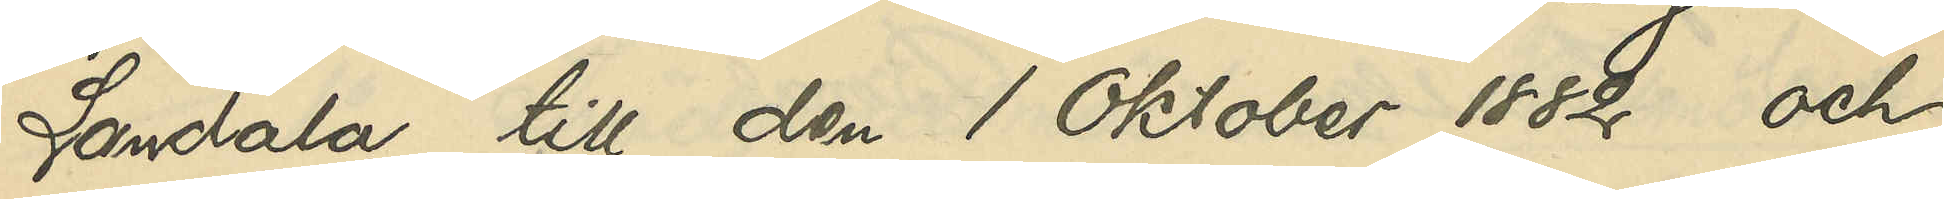Landala till den 1 Oktober 1882 och
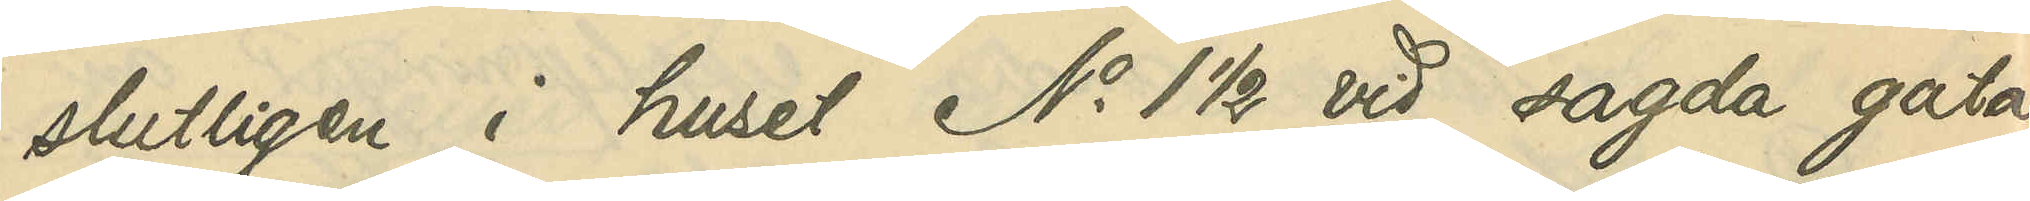slutligen i huset No 1 ½ vid sagda gata
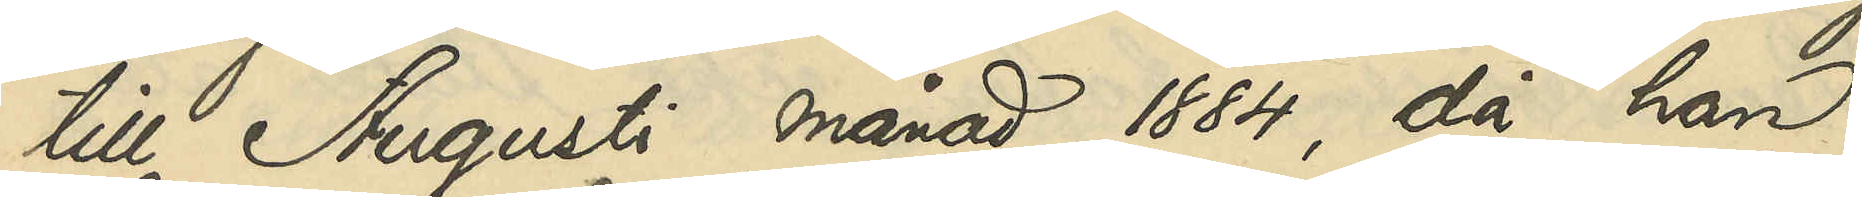till Augusti månad 1884, då han
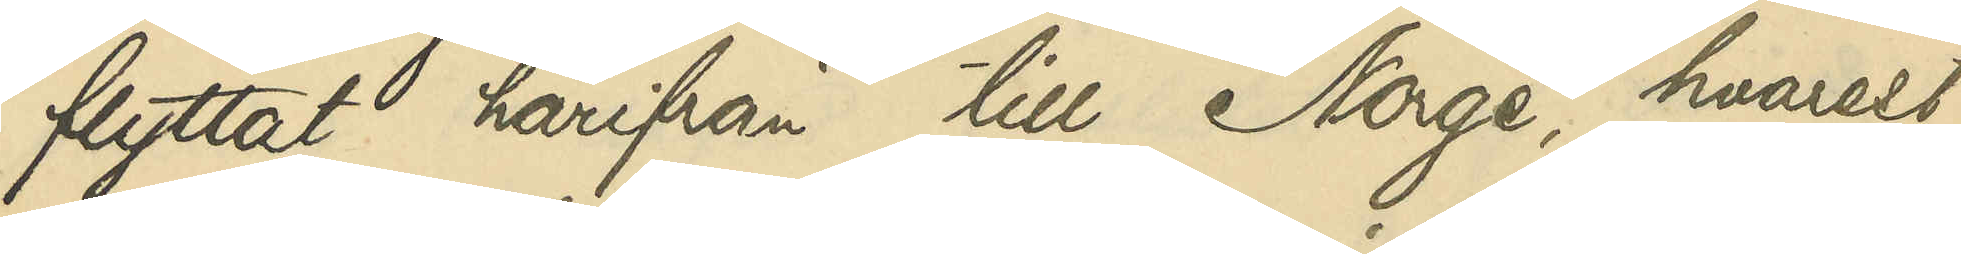flyttat härifrån till Norge, hvarest
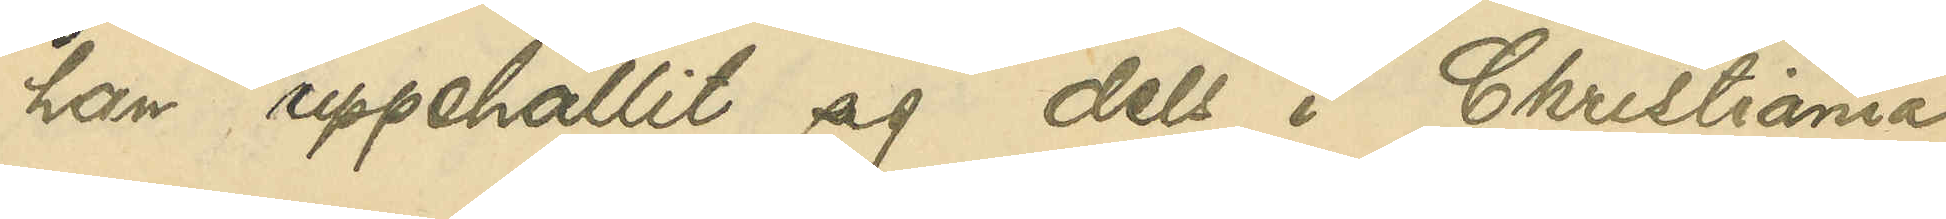han uppehållit sig dels i Christiania
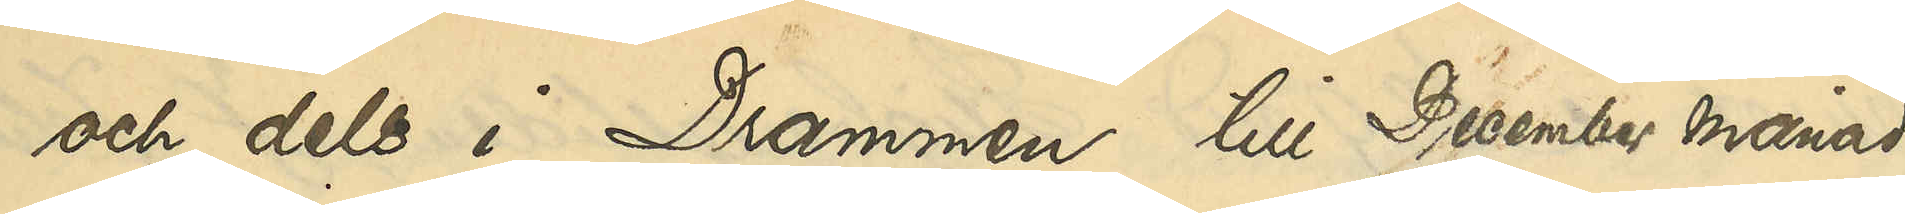och dels i Drammen till December månad
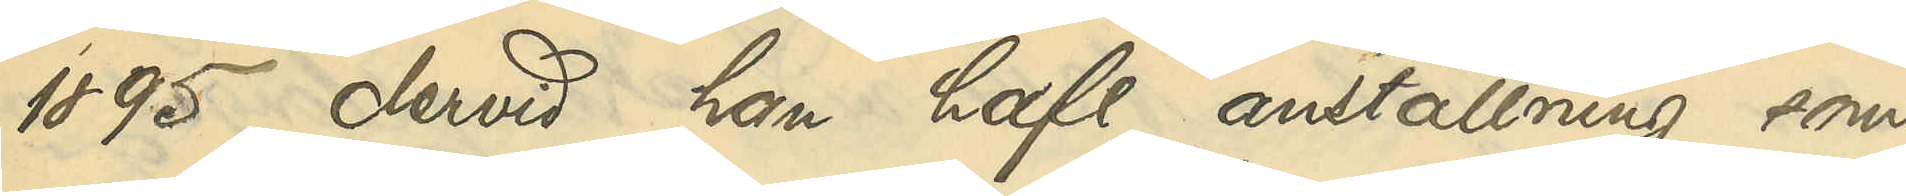1895, dervid han haft anställning som
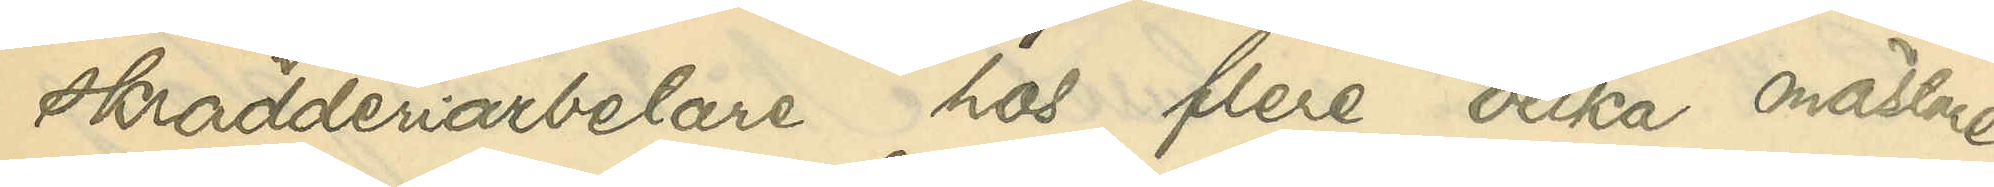skrädderiarbetare hos flere olika mästare
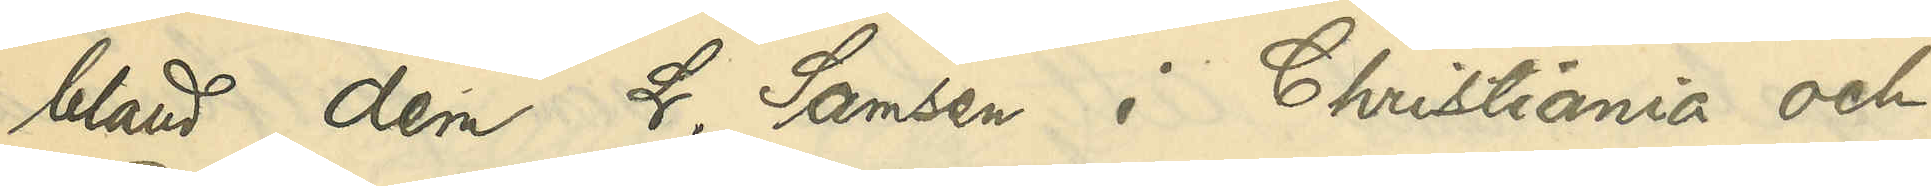bland dem L. Samsen i Christiania och
